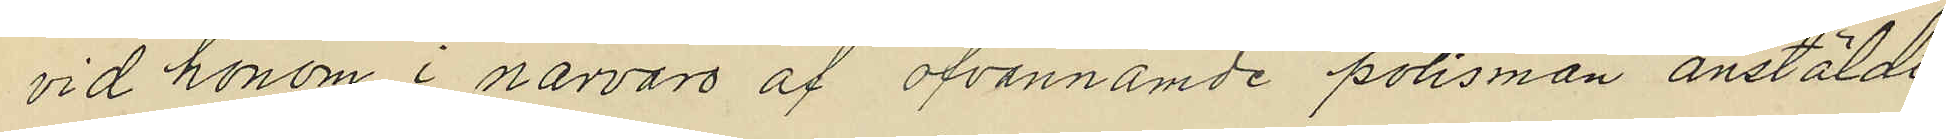vid honom i närvaro af ofvannämde polismän anstäldt
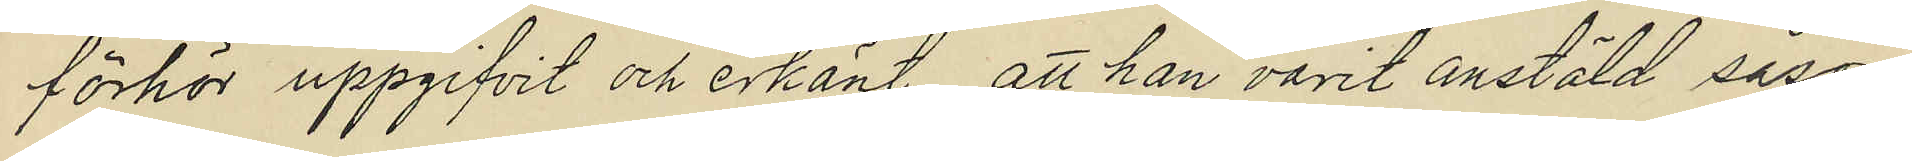förhör uppgifvit och erkänt, att han varit anstäld såsom
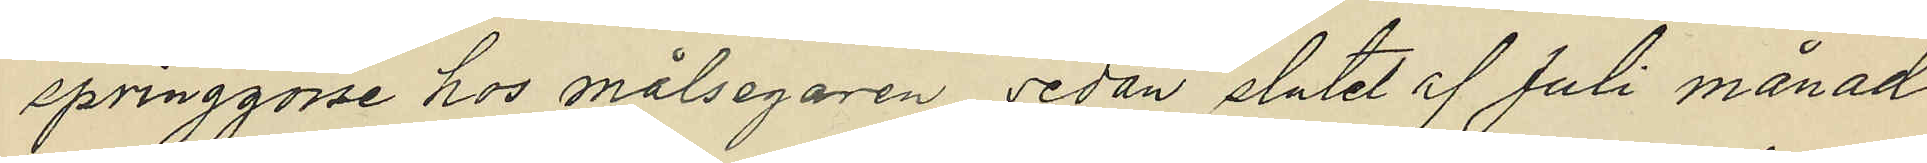springgosse hos målsegaren sedan slutet af Juli månad
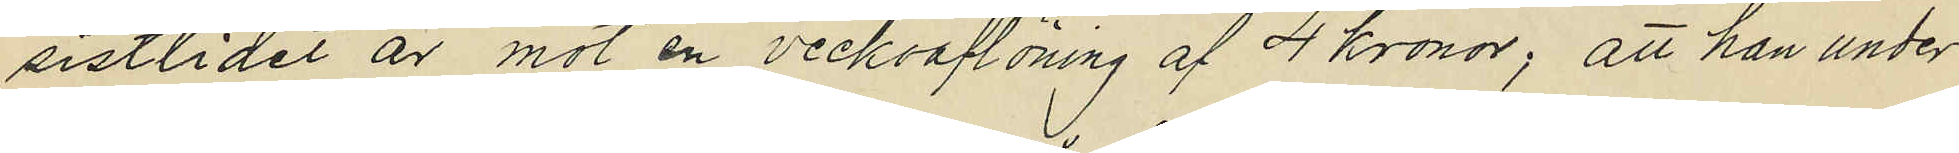sistlidet år mot en veckoaflöning af 4 kronor, att han under
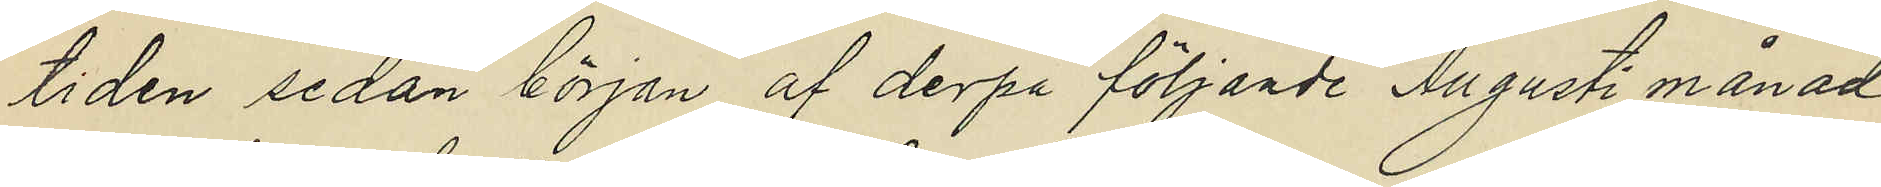tiden sedan början af derpå följande Augusti månad
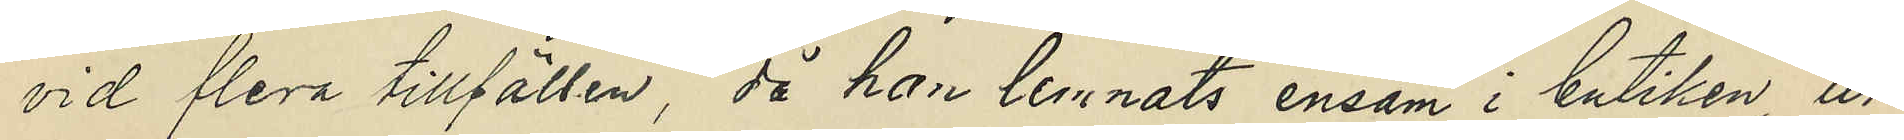vid flera tillfällen, då han lemnats ensam i butiken, ur
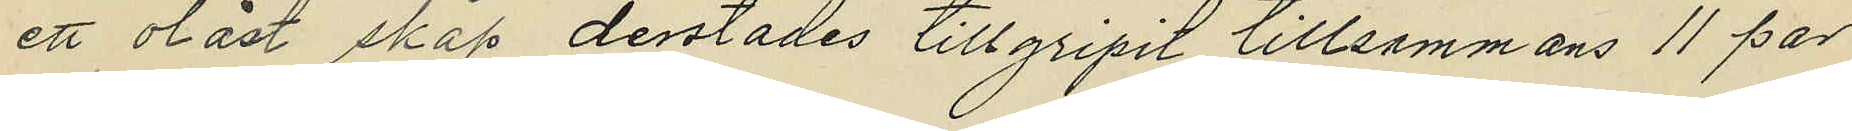ett olåst skåp derstädes tillgripit tillsammans 11 par
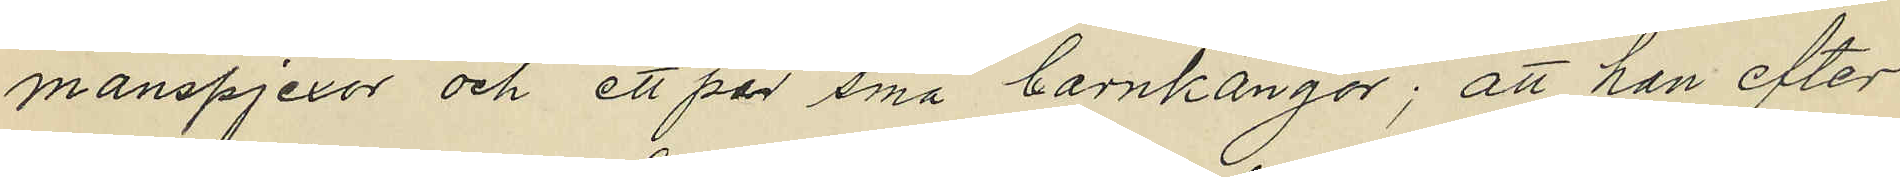manspjexor och ett par små barnkängor; att han efter
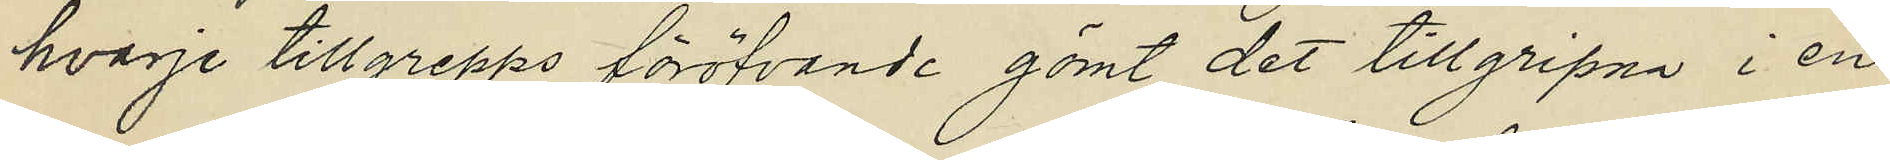hvarje tillgrepps föröfvande gömt det tillgripna i en
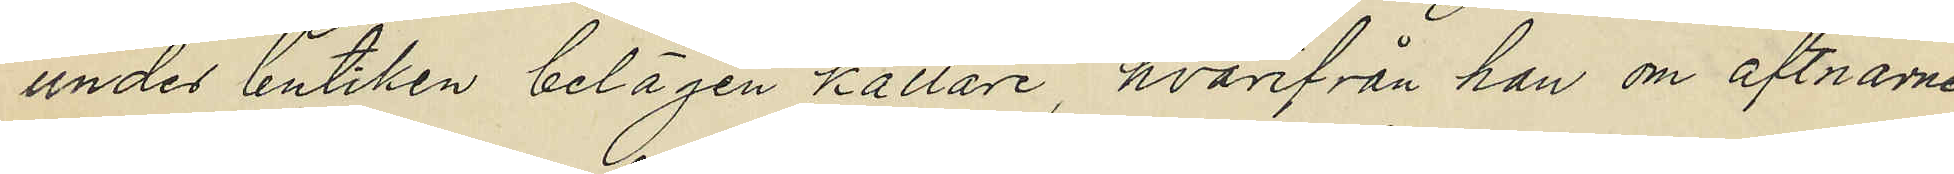under butiken belägen källare, hvarifrån han om aftnarne
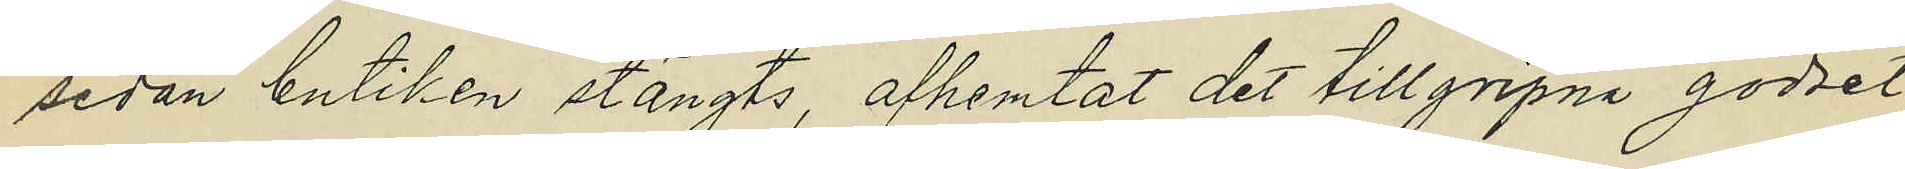sedan butiken stängts, afhemtat det tillgripna godset
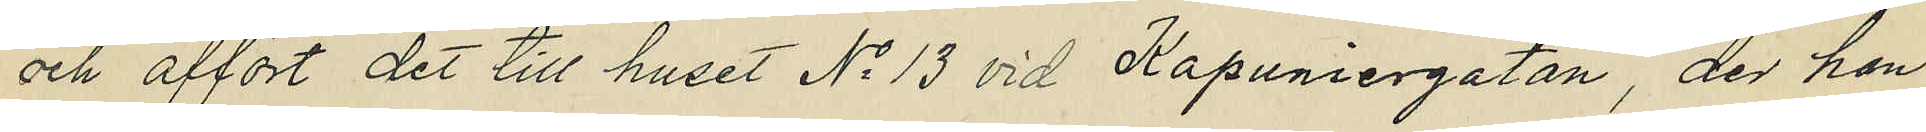och affört det till huset No 13 vid Kapuniergatan, der han
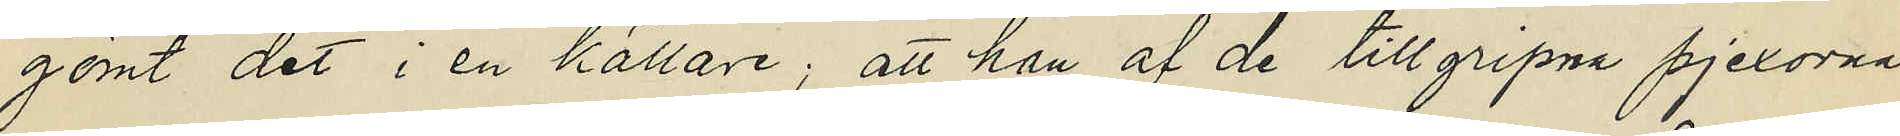gömt det i en källare; att han af de tillgripna pjexorna
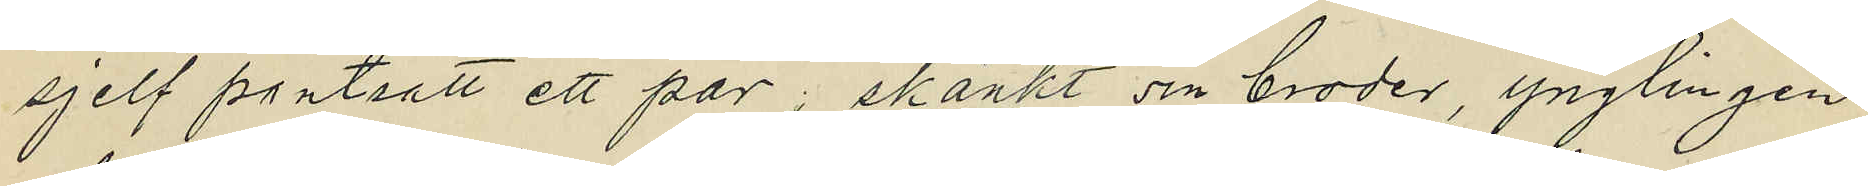sjelf pantsatt ett par; skänkt sin broder, ynglingen
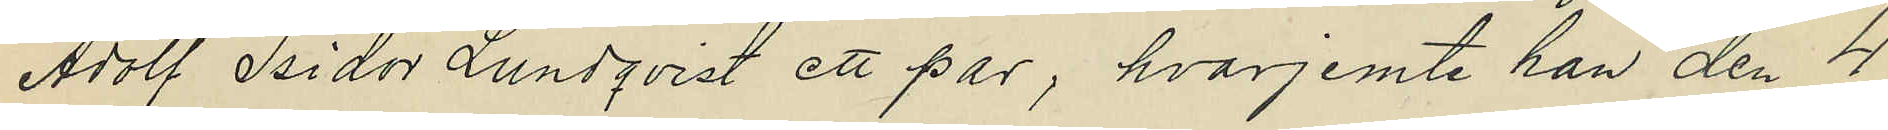Adolf Isidor Lundqvist ett par, hvarjemte han den 4
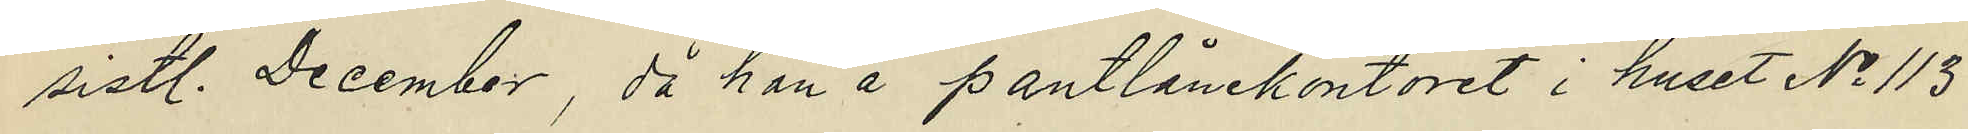sistl. December, då han å pantlånekontoret i huset No 113
